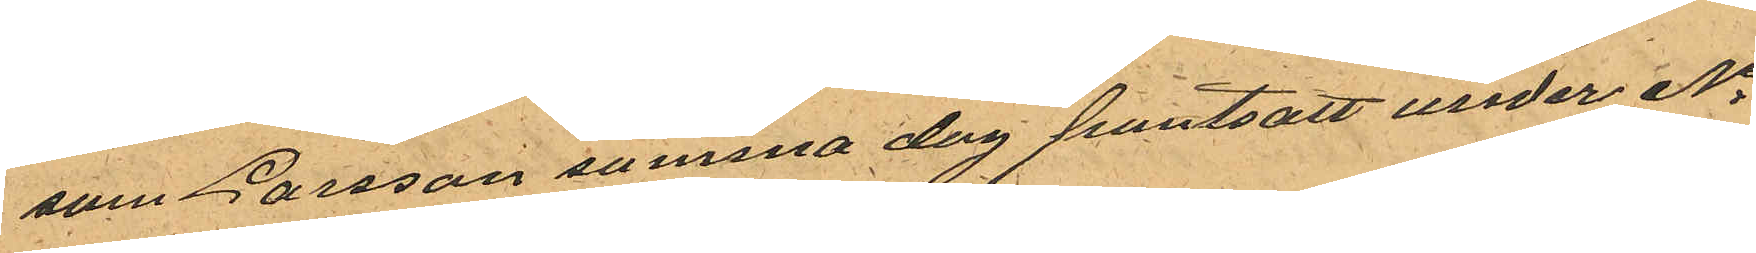som Larsson samma dag pantsatt under No
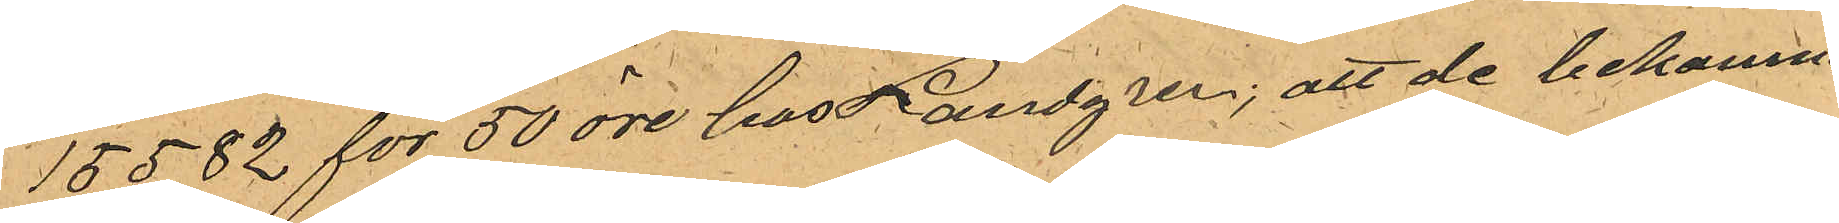15582 för 50 öre hos Landgren; att de bekomne
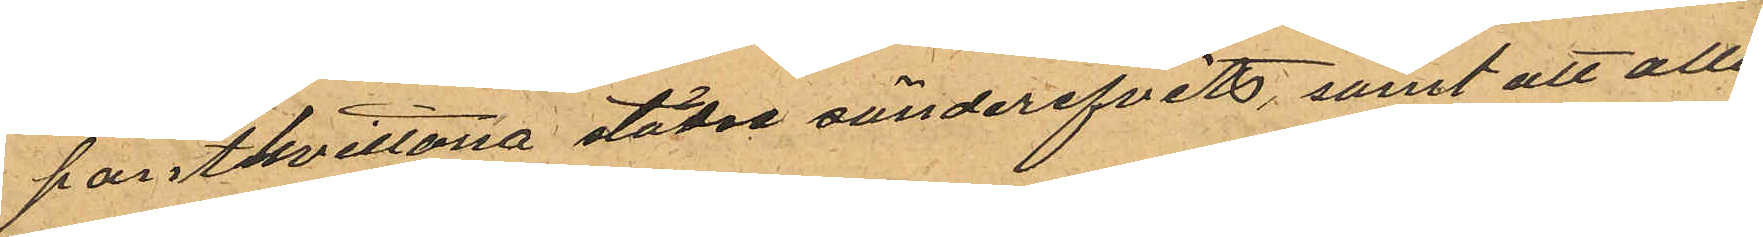pantkvittona städse sönderifvits, samt att alla
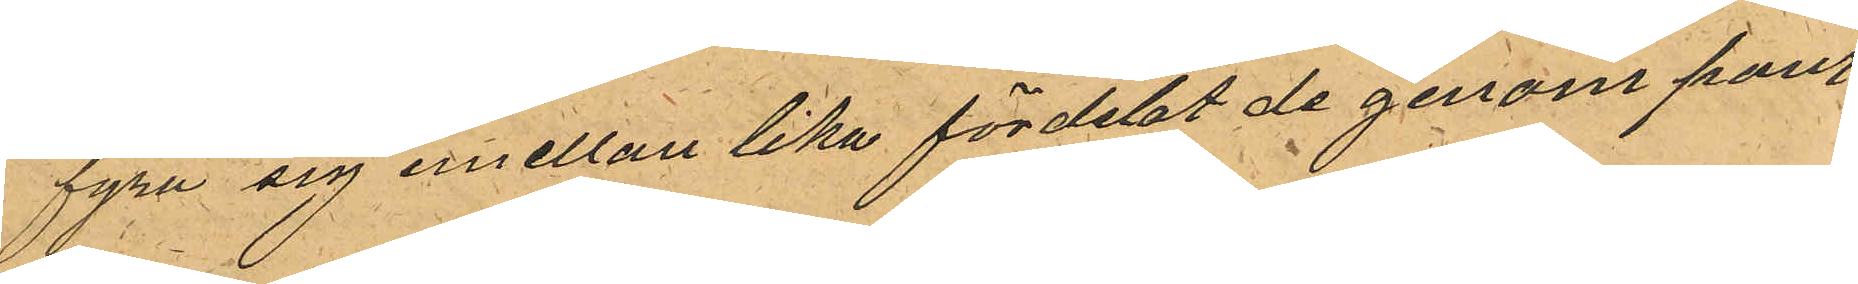fyra sig emellan lika fördelat de genom pant¬
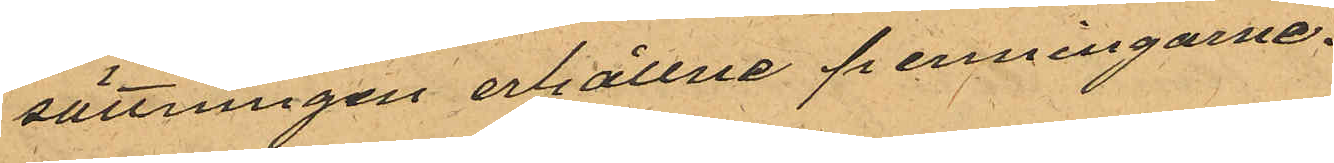sättningen erhållne penningarne.
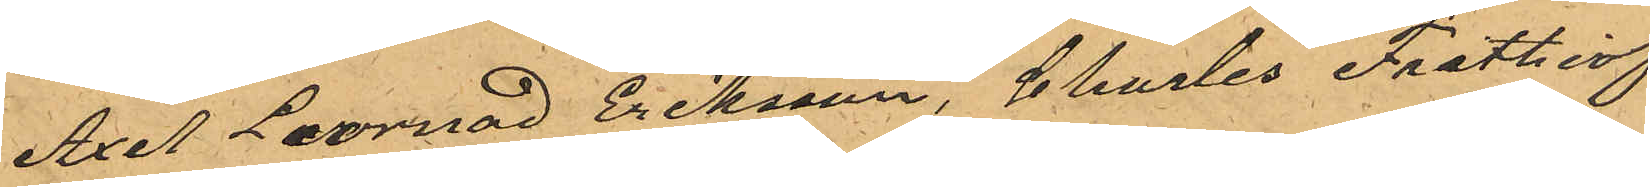Axel Leornad Eriksson, Charles Frithiof
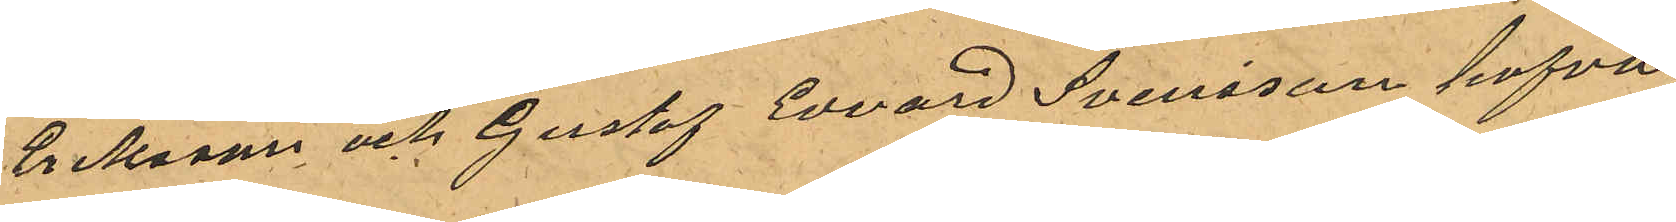Eriksonn och Gustaf Edvard Svensson hafva
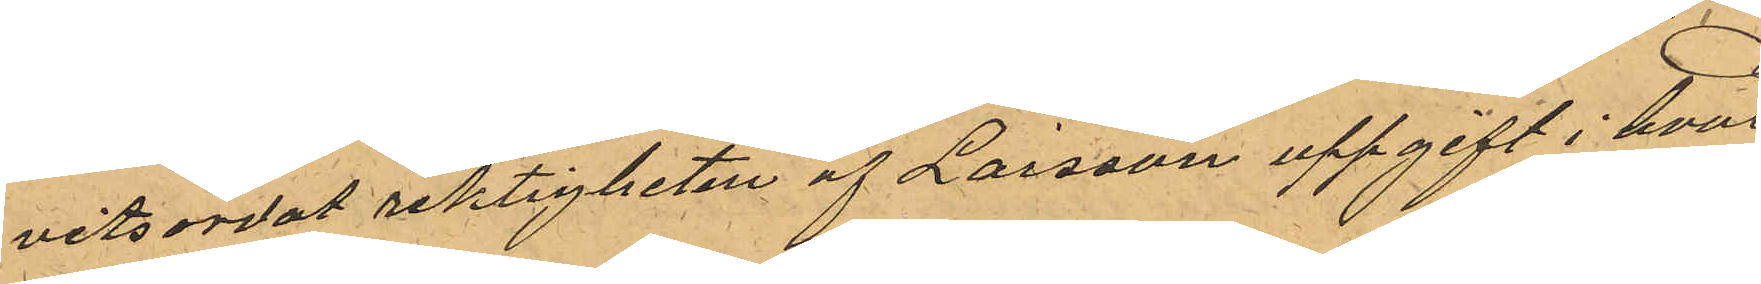vitsordat riktigheten af Larsson uppgift i hvar
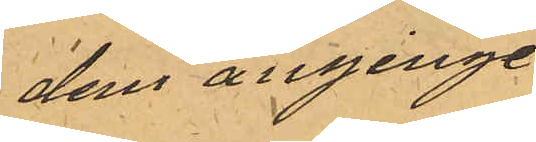dem anginge.
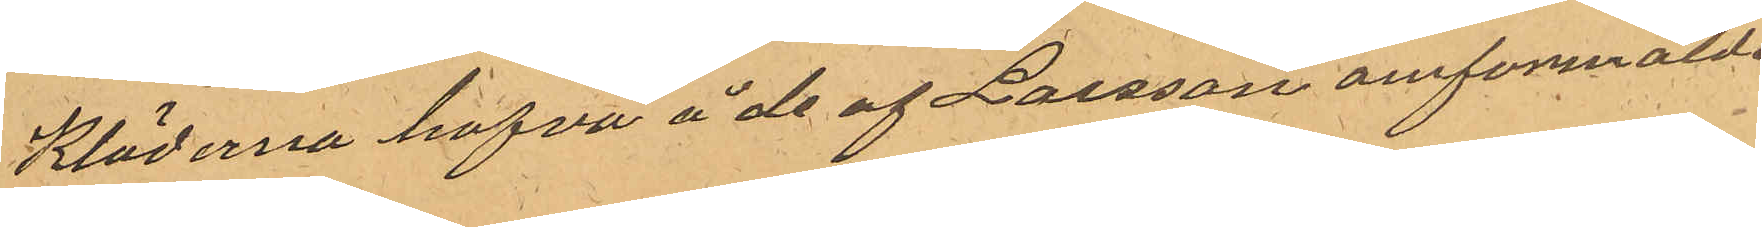Kläderna hafva å de af Larsson omförmälde
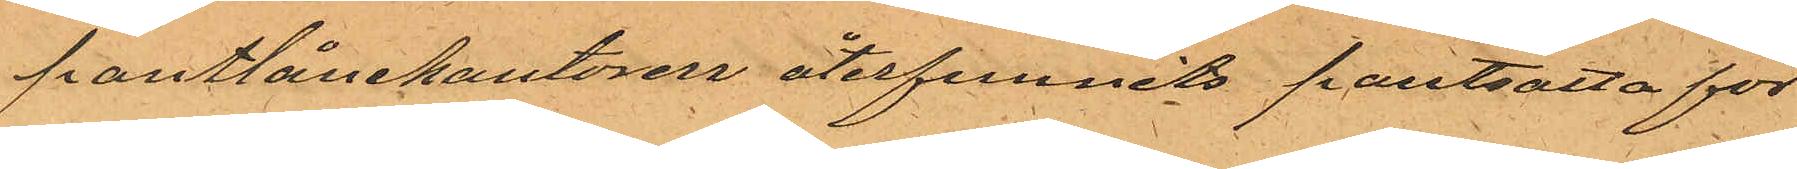pantlånekontoren återfunnits pantsatta för
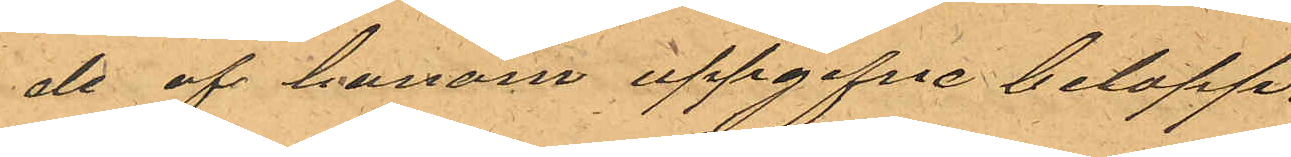de af honom uppgifne belopp.
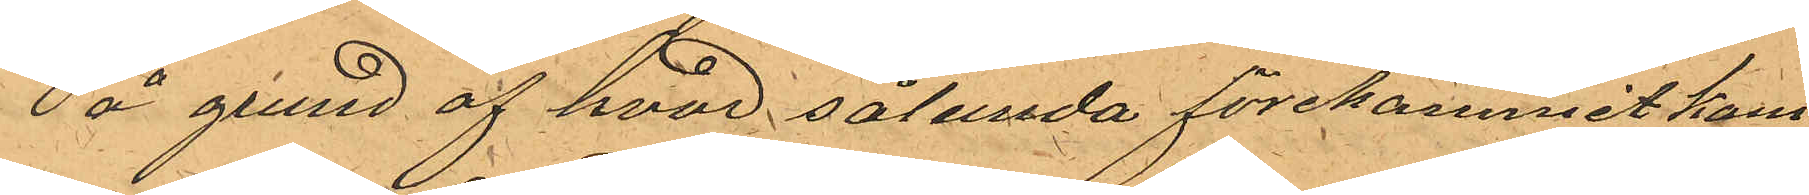På grund af hvad sålunda förekommit kom¬
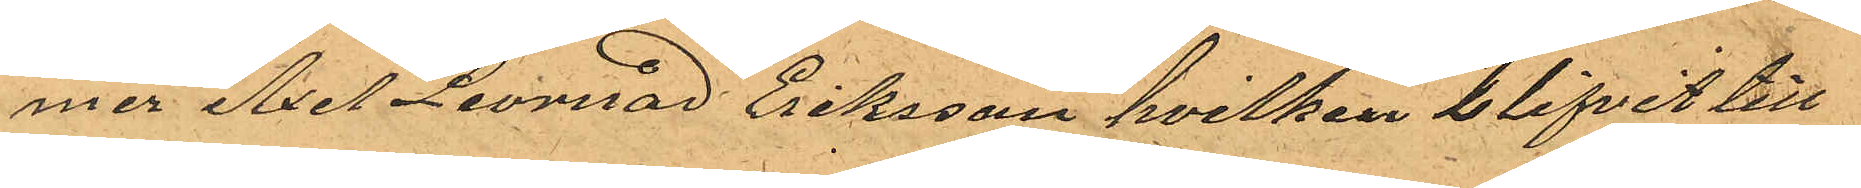mer Axel Leornad Eriksson hvilken blifvit till
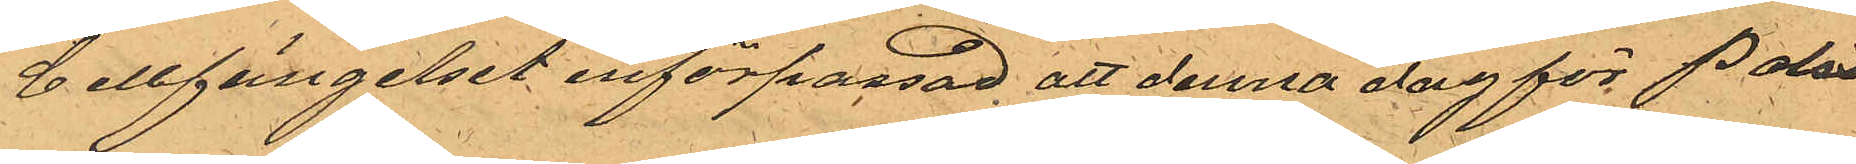Cellfängelset införpassad att denna dag för Polis
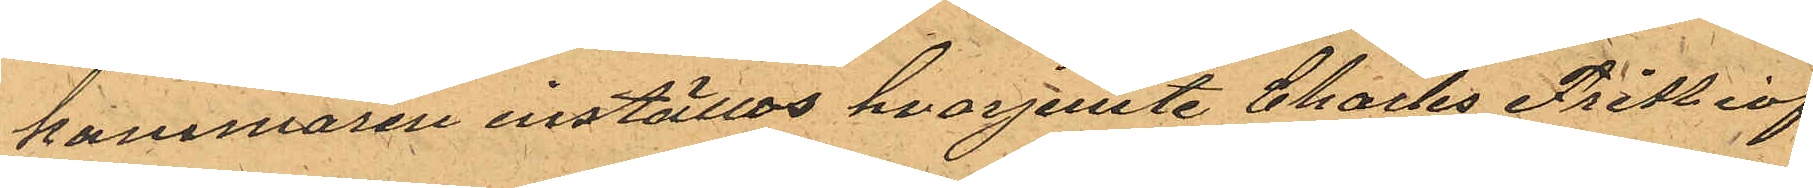kammaren inställas hvarjemte Charles Frithiof
